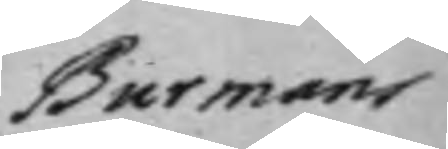Burmans
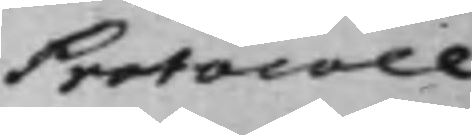Protocoll
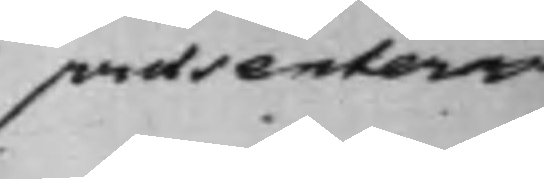praesenteras
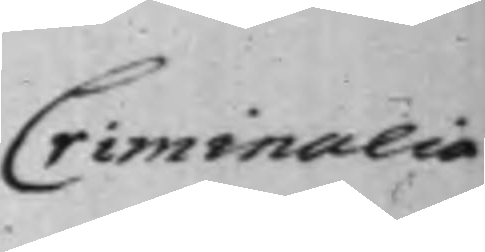Criminalia
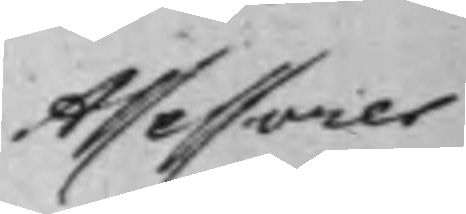Assessorer
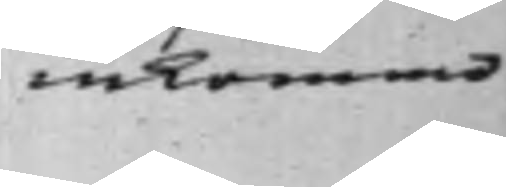inkommo.
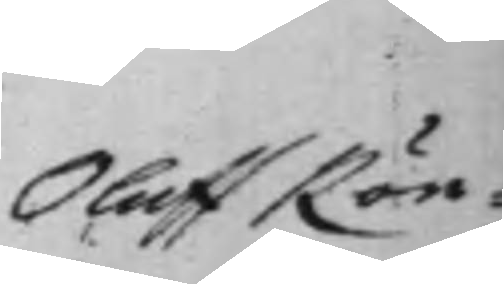Oluff Rön¬
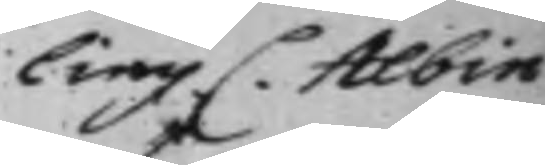ling C. Albin
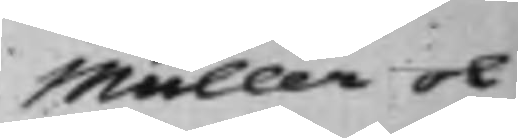Müller ok
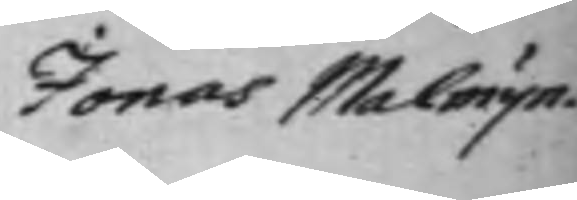Jonas Malmijn.
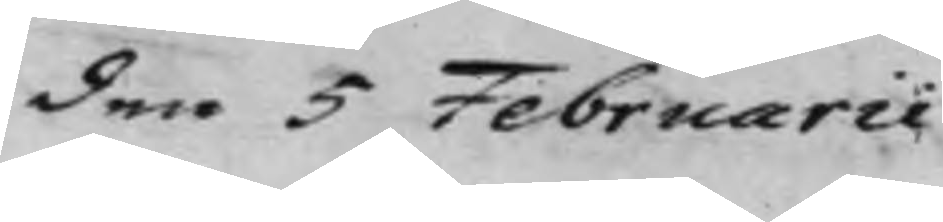den 5 Februarii
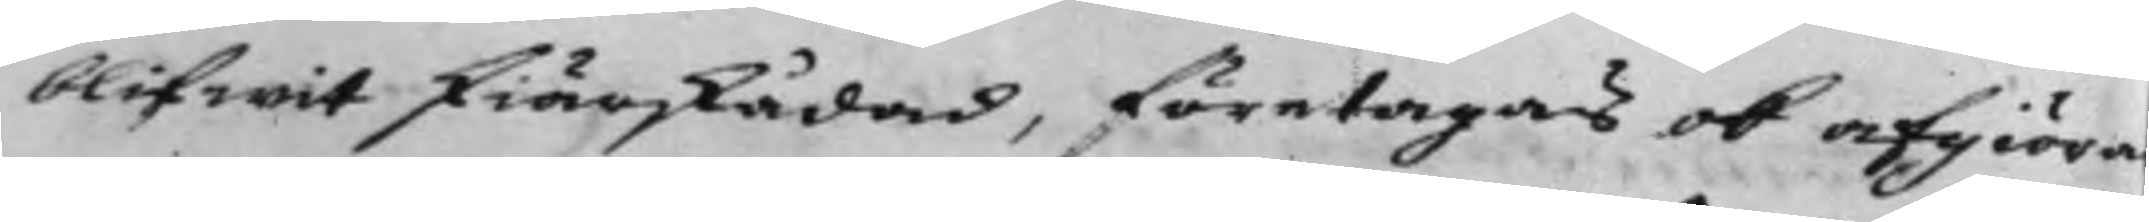blifwit skiärskådad, företagas ok afgiöra
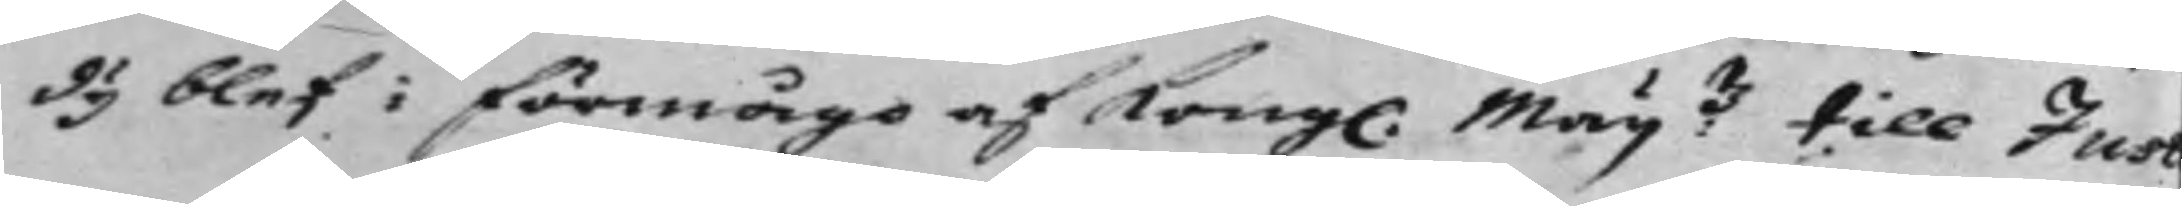dy blef i förmågo af Kongl. Maij:tz till Just
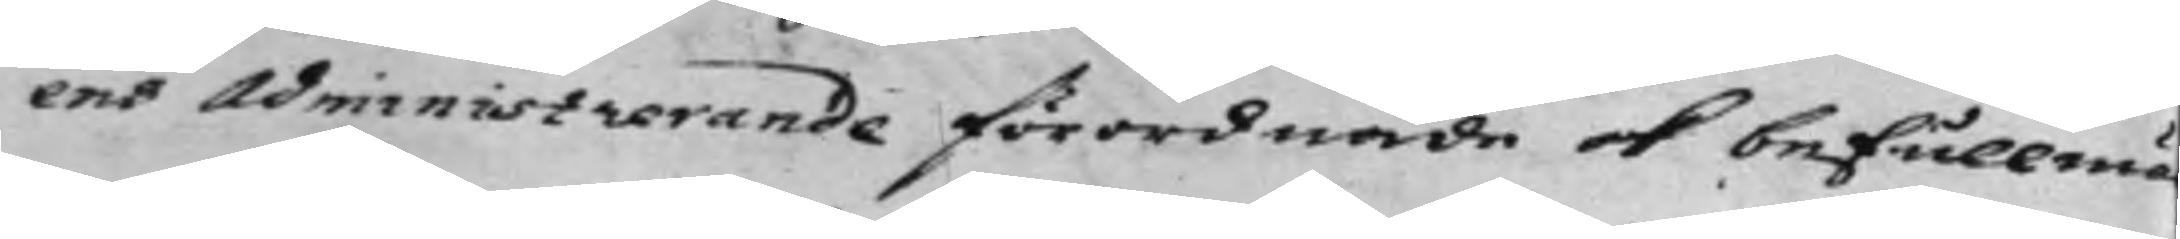ens Administrerande förordnade ok befullmä
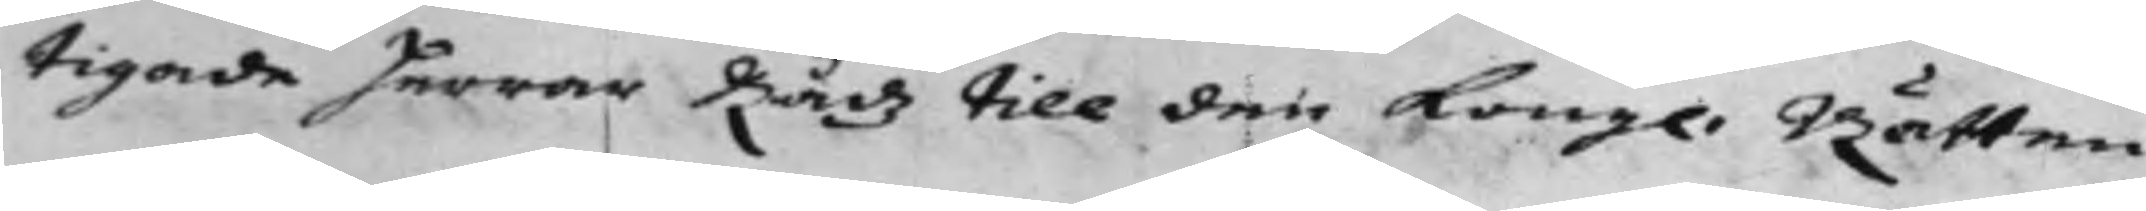tigade Herrar Rådz till den Kongl. Rätten
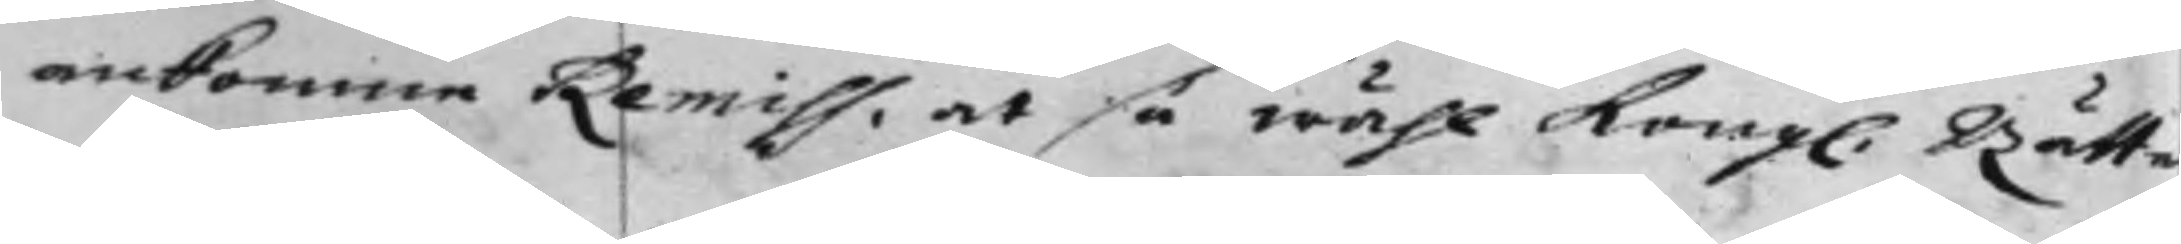ankomne Remiss, at så wähl Kongl. Rätte
